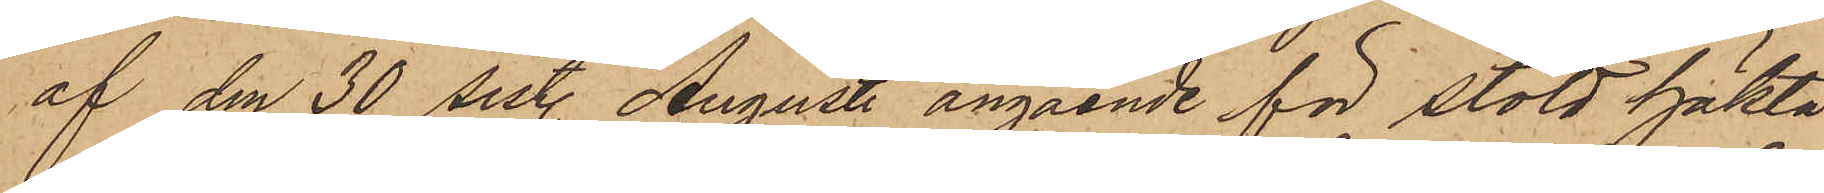af den 30 sistl. Augusti angående för stöld häkta¬
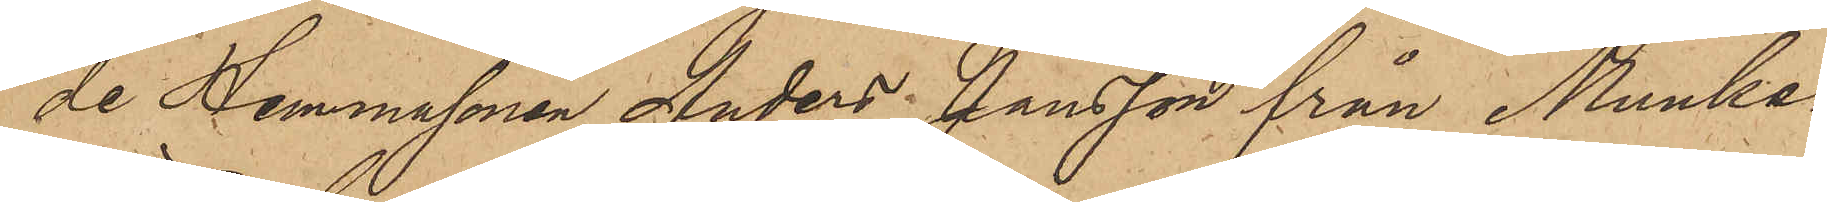de Hemmasonen Anders Jansson från Munke¬
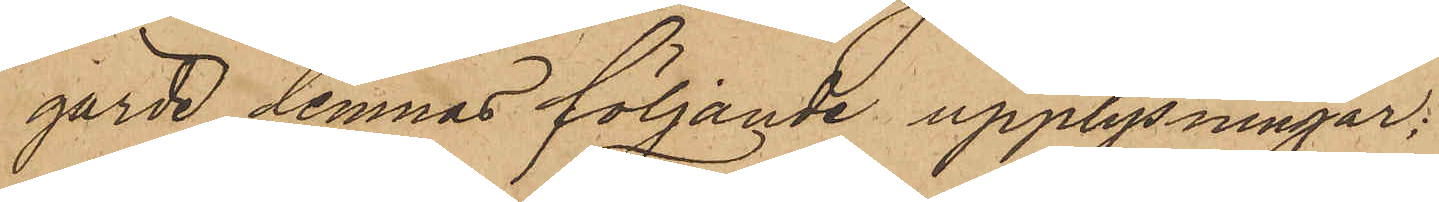gärde lemnas följande upplysningar;
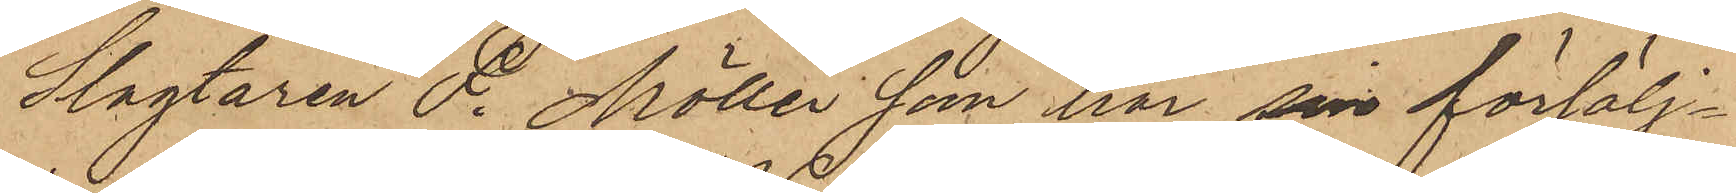Slagtaren F. Möller som har sin försälj¬
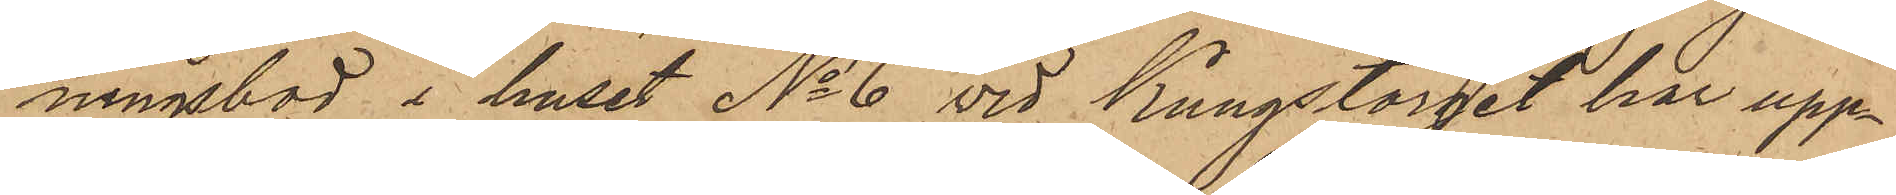ningsbod i huset No 6 vid Kungstorget har upp¬
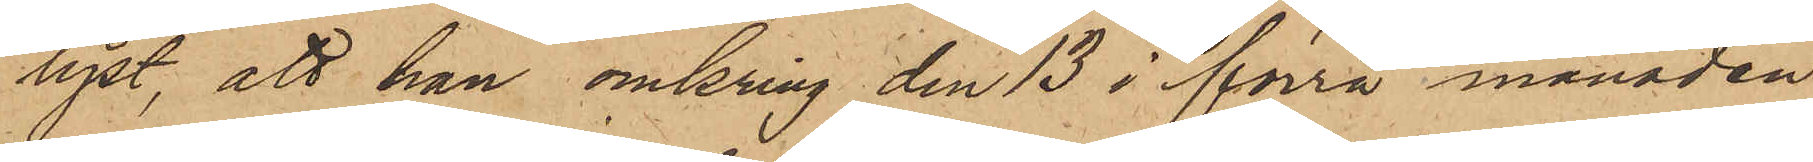lyst, att han omkring den 13 i förra månaden
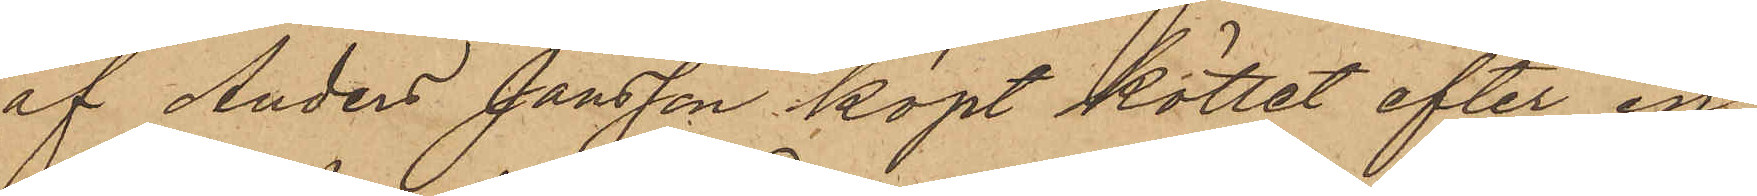af Anders Jansson köpt köttet efter en
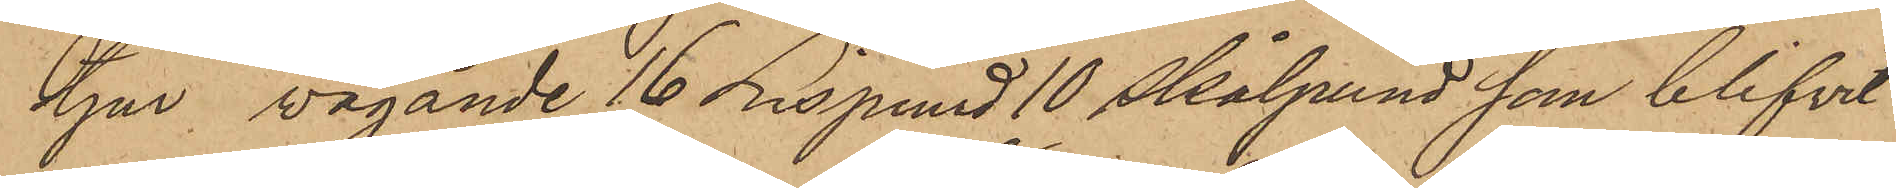tjur, vägande 16 Lispund 10 skålpund som blifvit
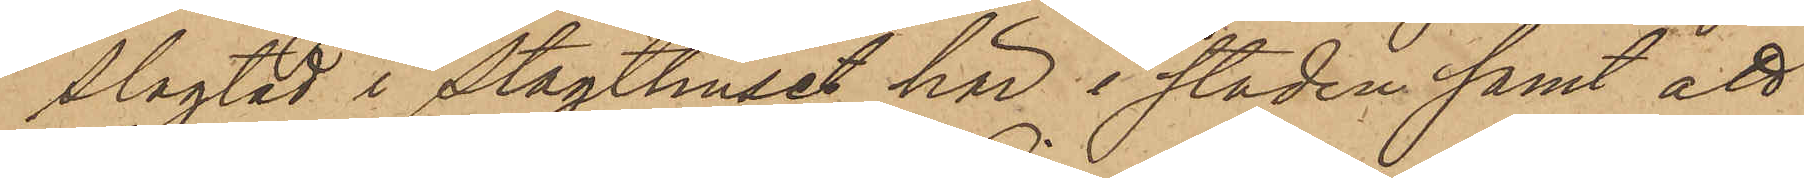slagtad i Slagthuset här i staden; samt att
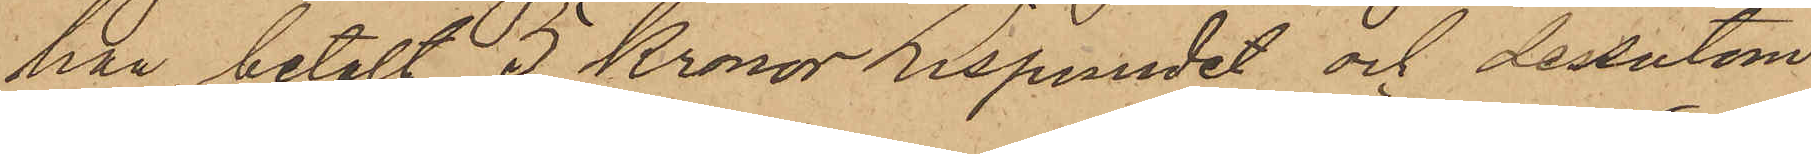han betalt 5 Kronor Lispundet och dessutom
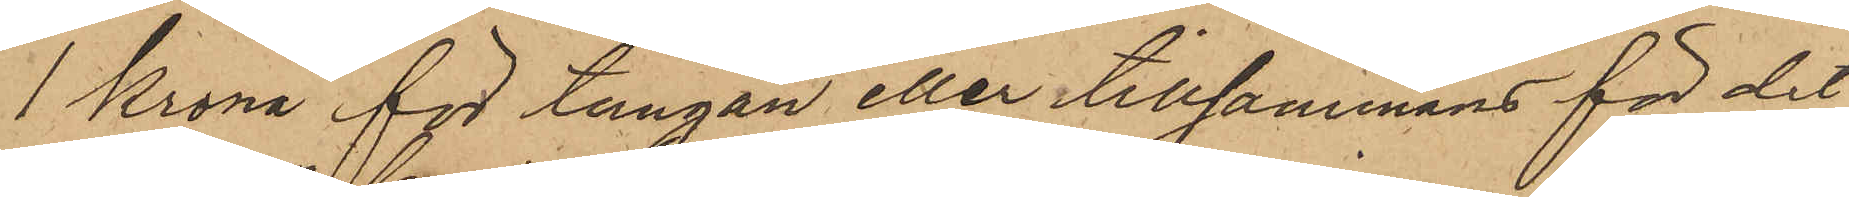1 Krona för tungan eller tillsammans för det
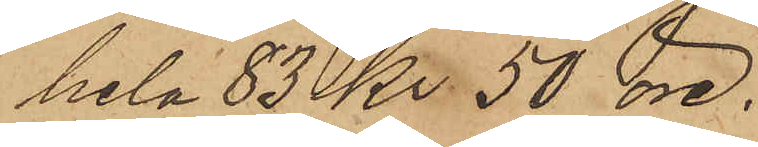hela 83 Kr. 50 öre.
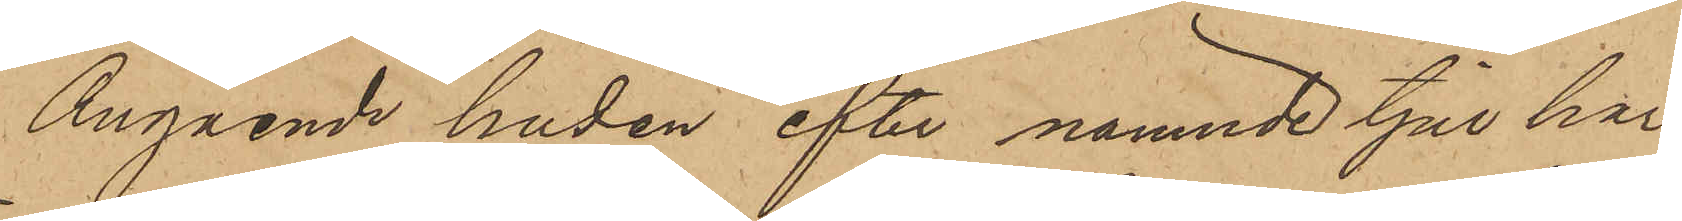Angående huden efter nämnde tjur har
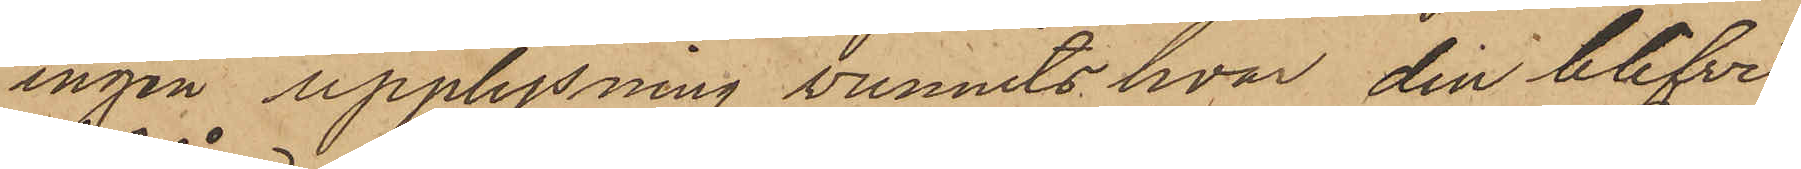ingen upplysning vunnits hvar den blifvit
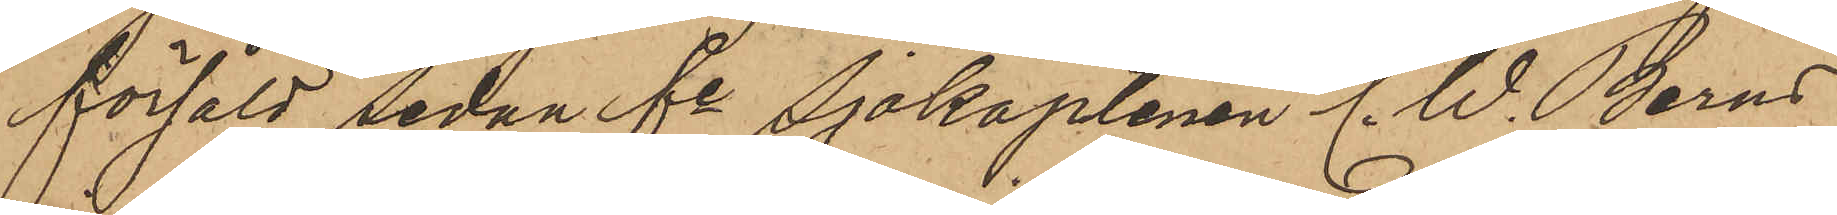försåld Sedan fe Sjökaptenen C. W. Berns
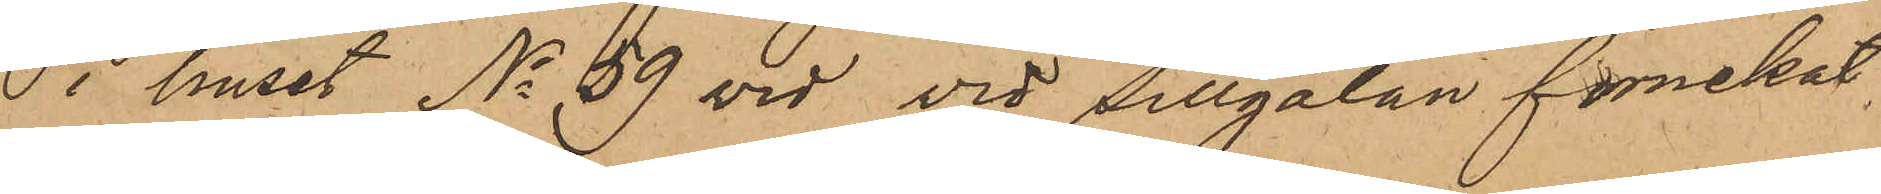i huset No 59 vid vid Sillgatan förnekat
